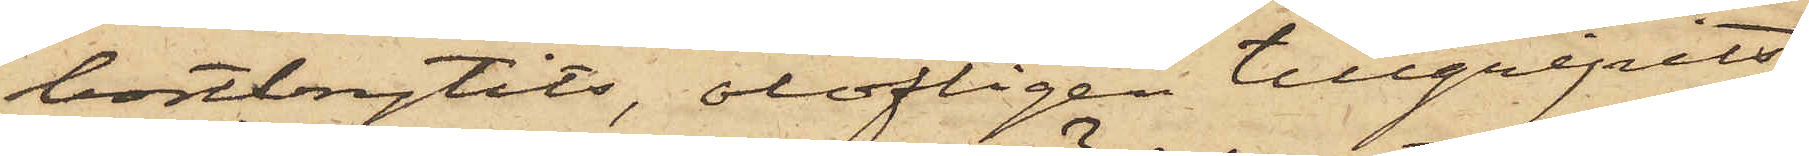bortbrytits, olofligen tillgripits
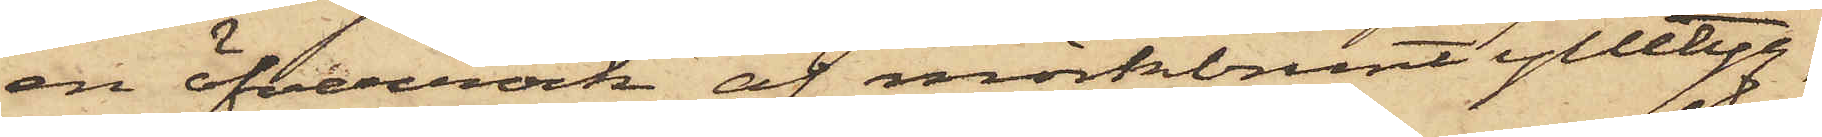en öfverrock af mörkbrunt ylletyg,
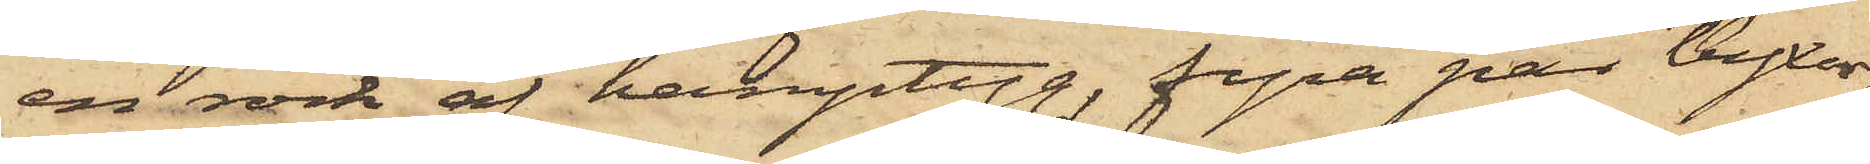en rock af hamptyg, fyra par byxor,
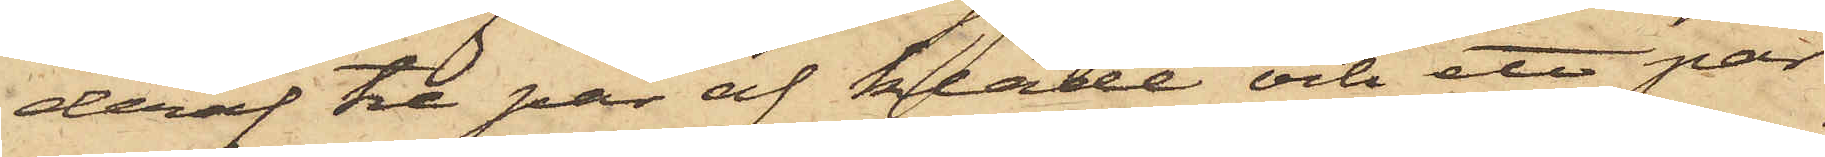deraf tre par af kläde och ett par
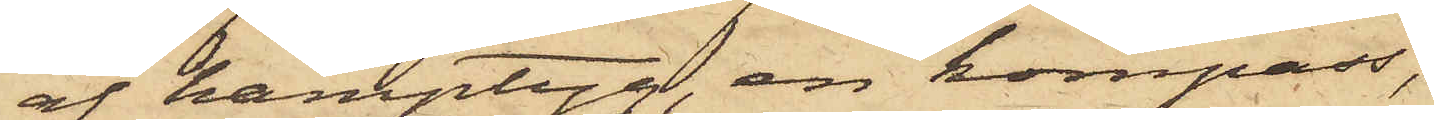af hamptyg, en kompass,
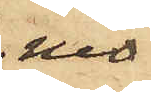nio
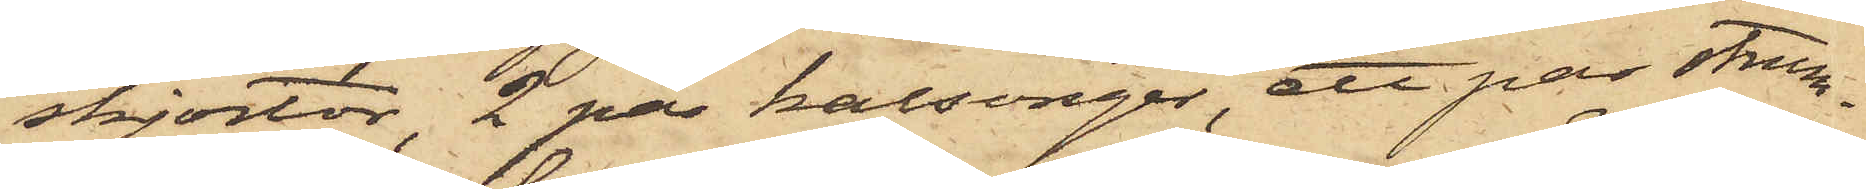skjortor, 2 par kalsonger, ett par strum¬
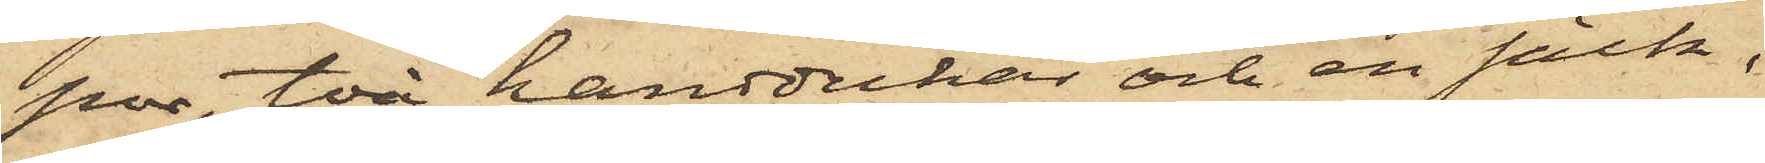por, två handdukar och en säck,
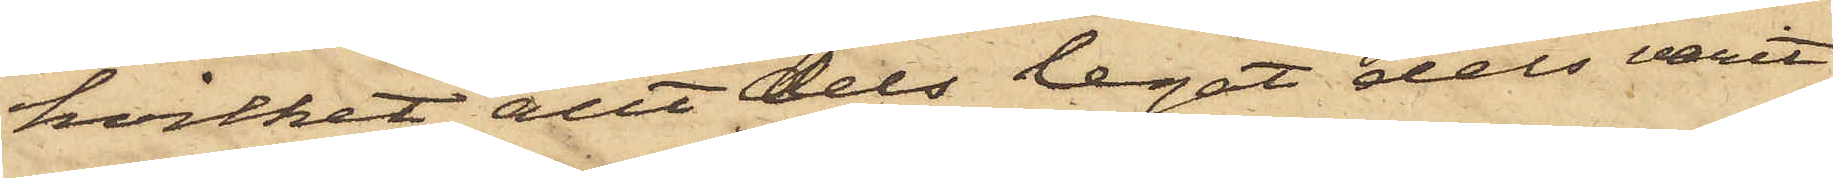hvilket allt dels legat dels varit
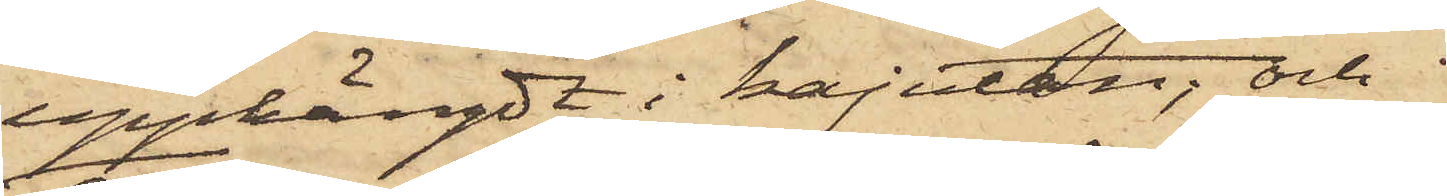upphängdt i kajutan; och
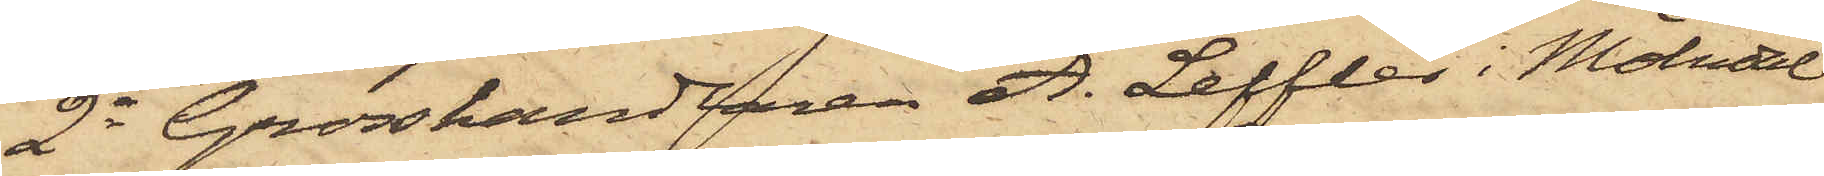2o Grosshandlaren A. Leffler i Mölndal
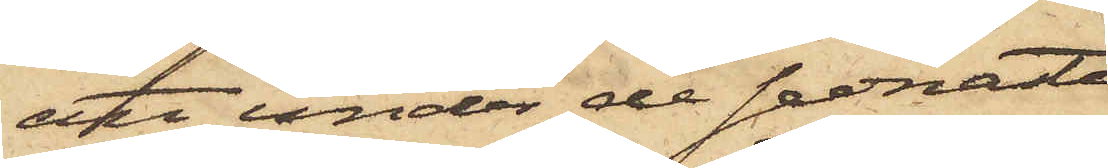att under de sednaste
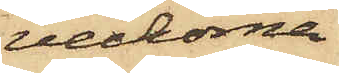veckorna
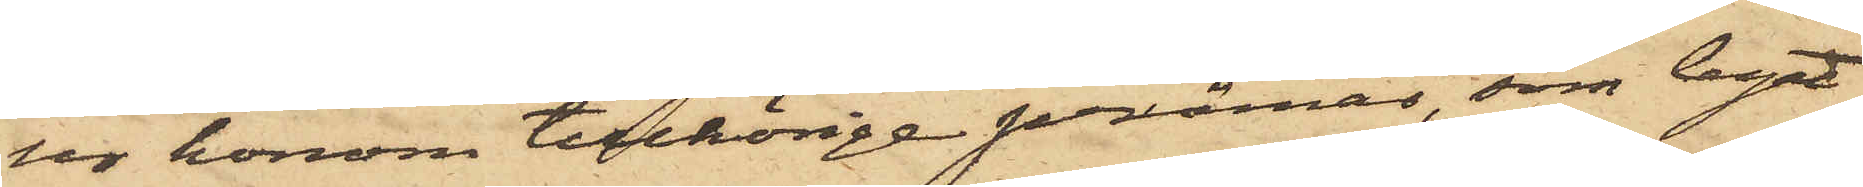ur honom tillhörige pråmar, som legat
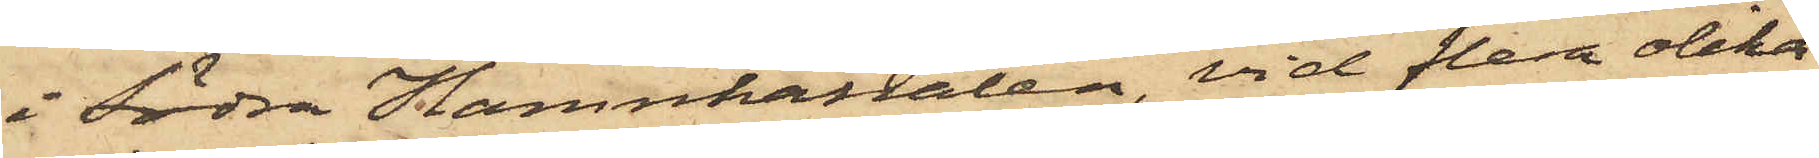i Södra Hamnkanalen, vid flera olika
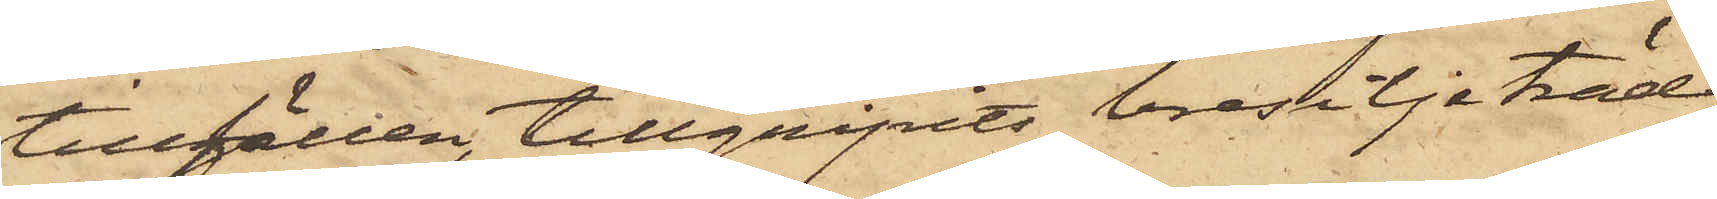tillfällen, tillgripits bresiljaträd
